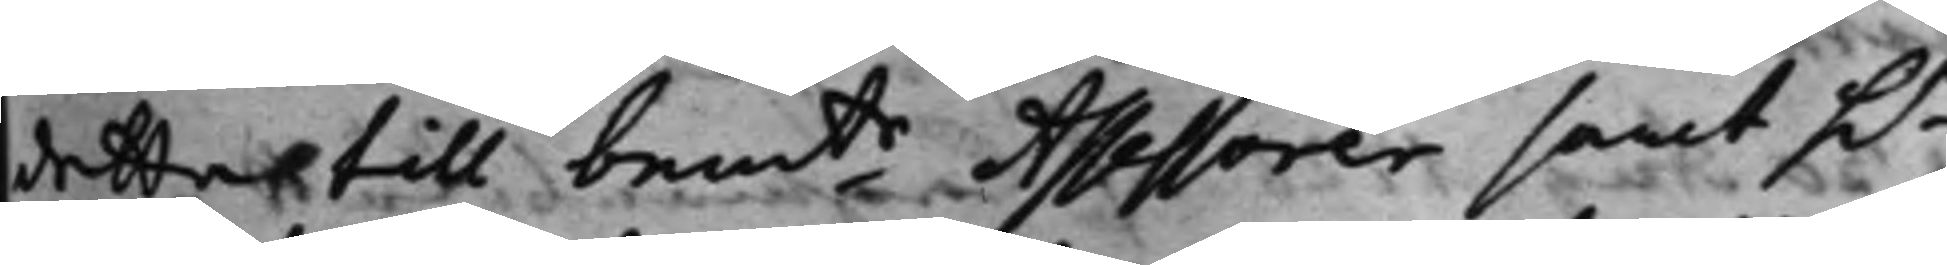detta till bemte Assessorer samt h.r
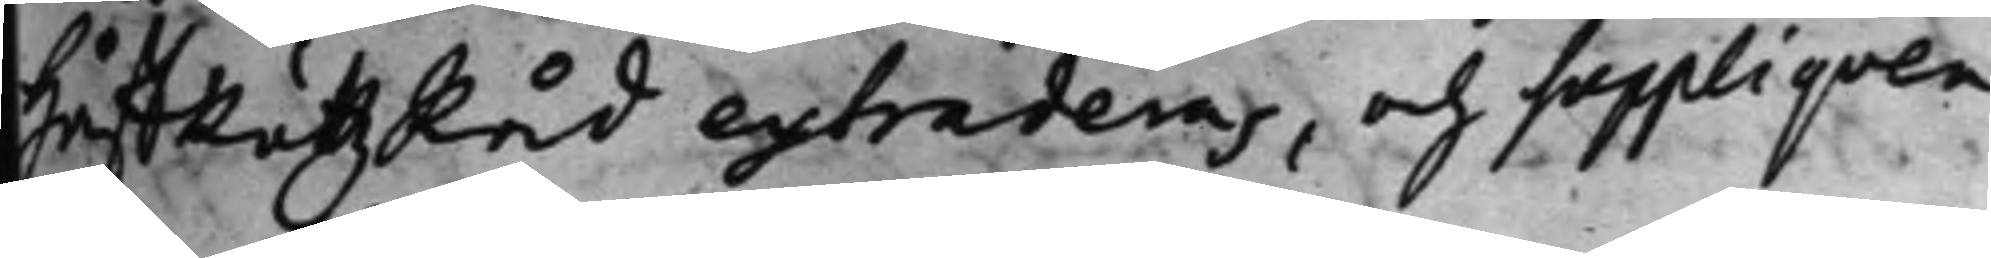HåffRättz Råd extraderas, och Suppliqven
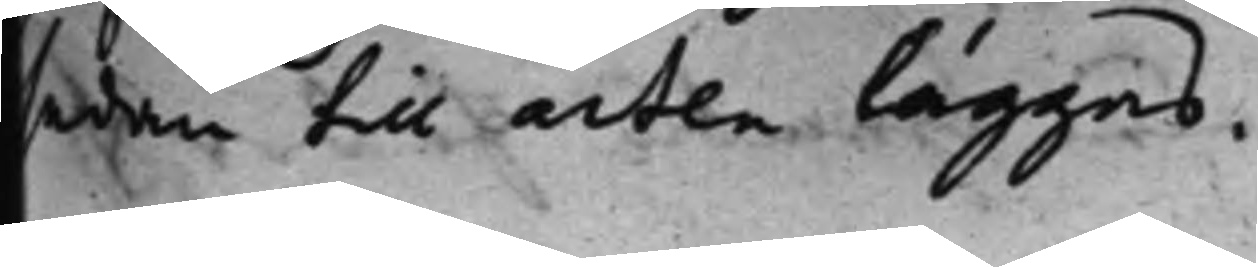sedan till acten läggas.
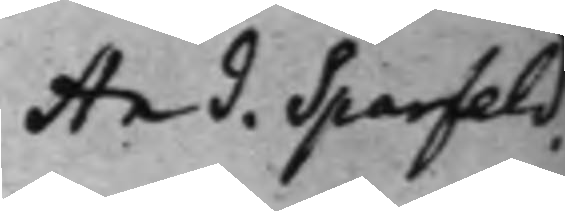And. Sparfeld.
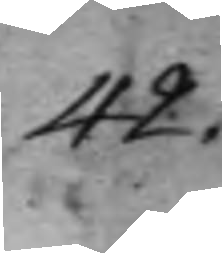42.
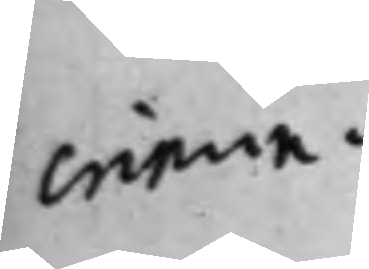Crimia.
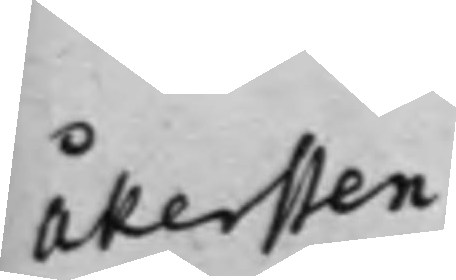Åkersten
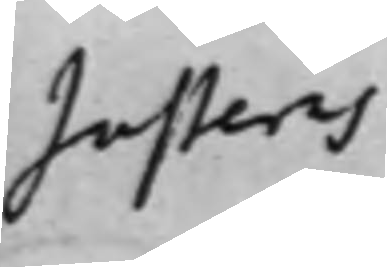Justeras
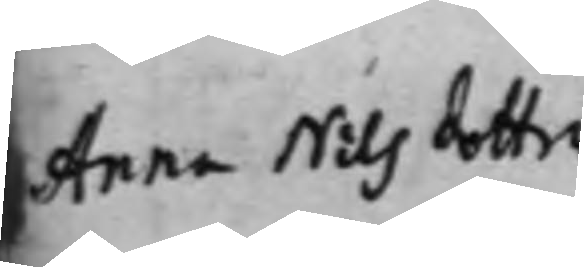Anna Nils dotter
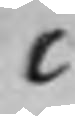C
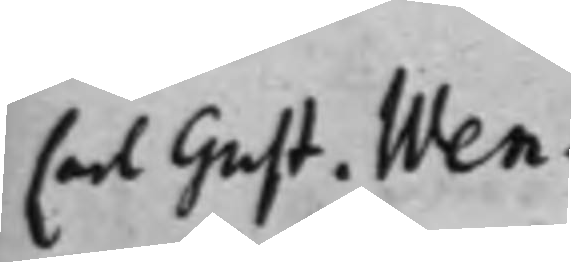Carl Gust. Wen¬
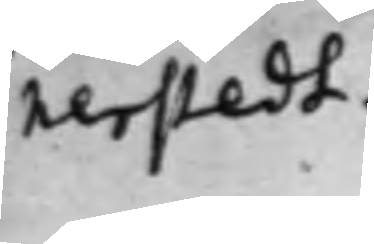nerstedt.
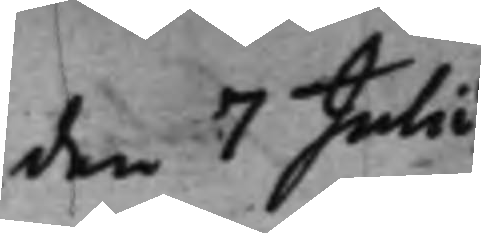den 7 Julii.
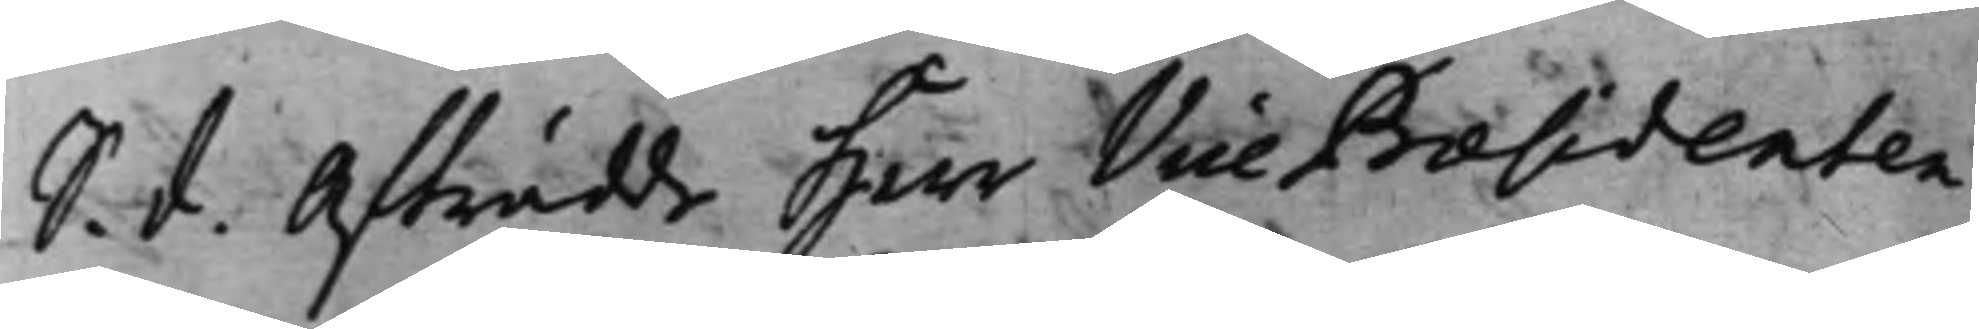S. d. Afträdde Herr Vice Praesidenten
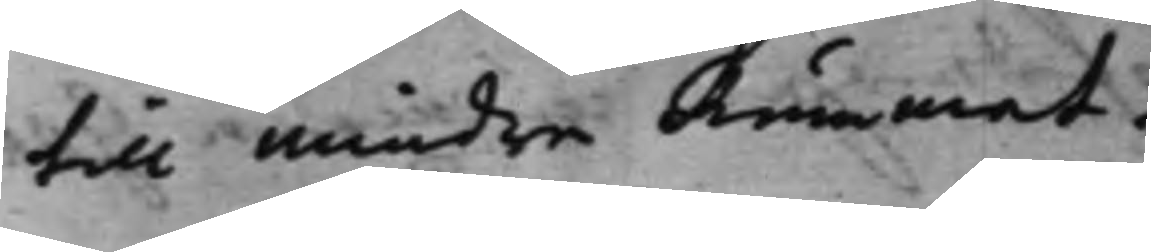till mindre Rummet.
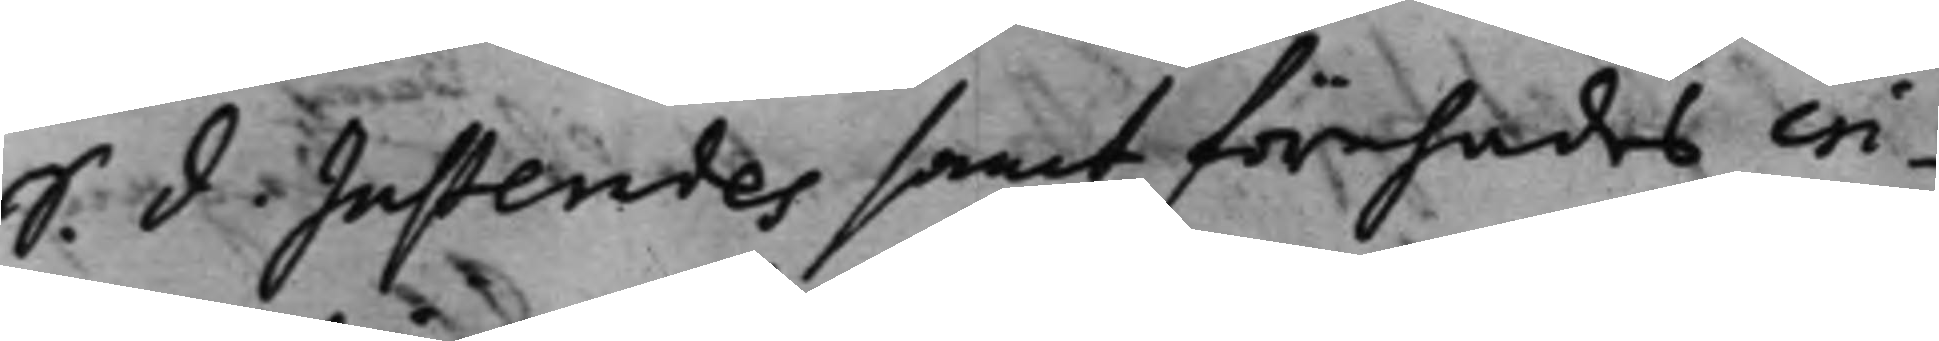S. d. Justerades samt förehades cri¬
